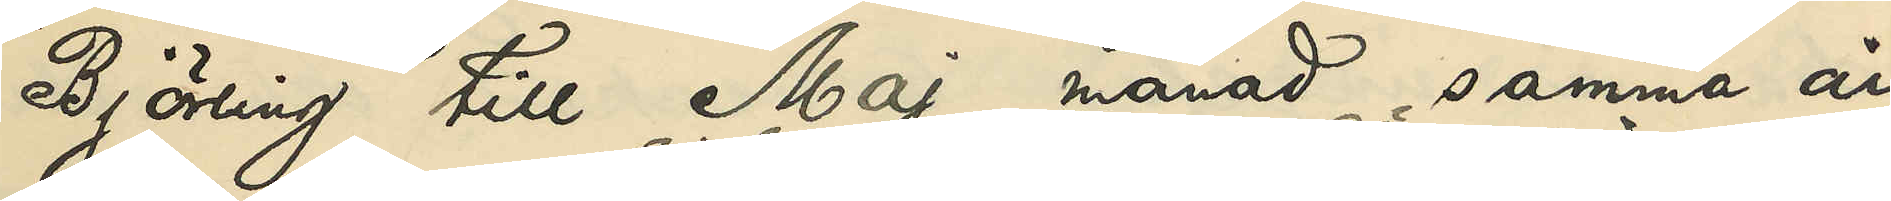Björling till Maj månad samma år
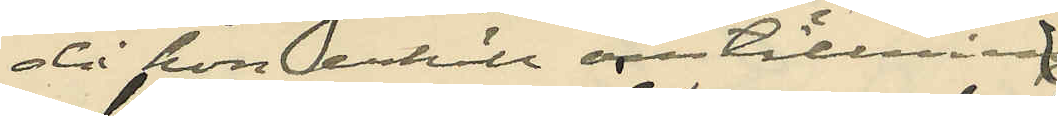då hon erhöll anställning
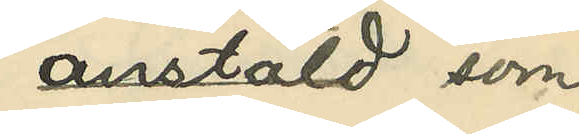antäld som
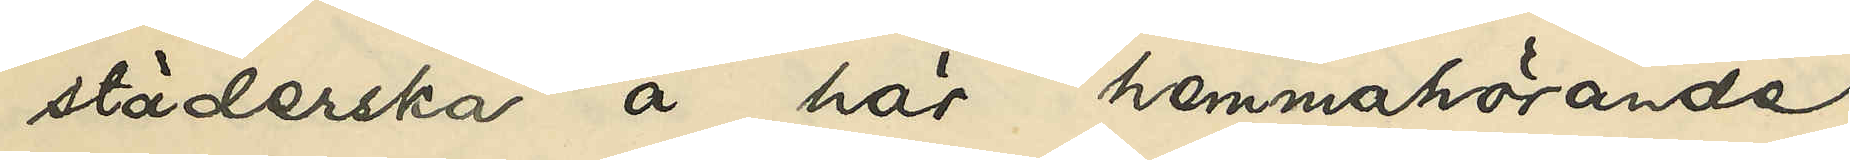städerska å här hemmahörande
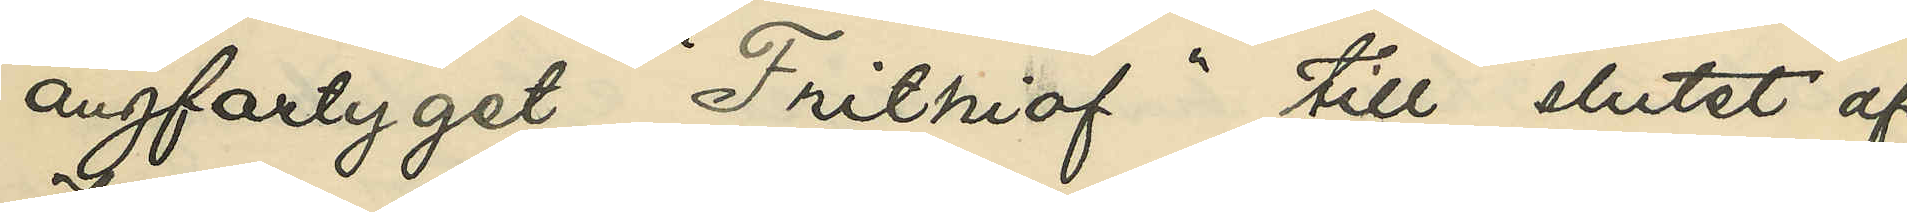ångfartyget "Frithiof" till slutet af
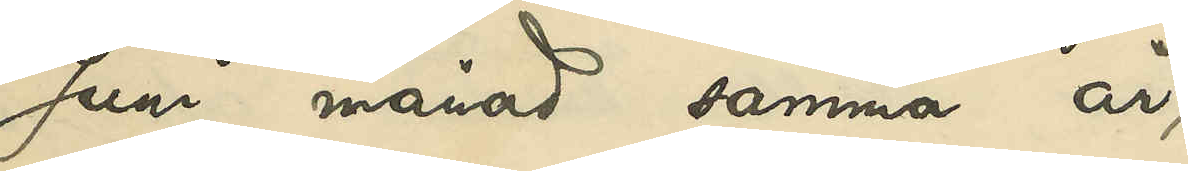Juni månad samma år
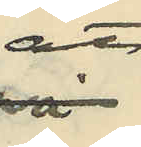att
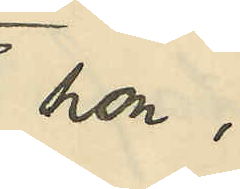hon
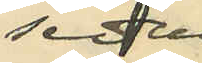sedan
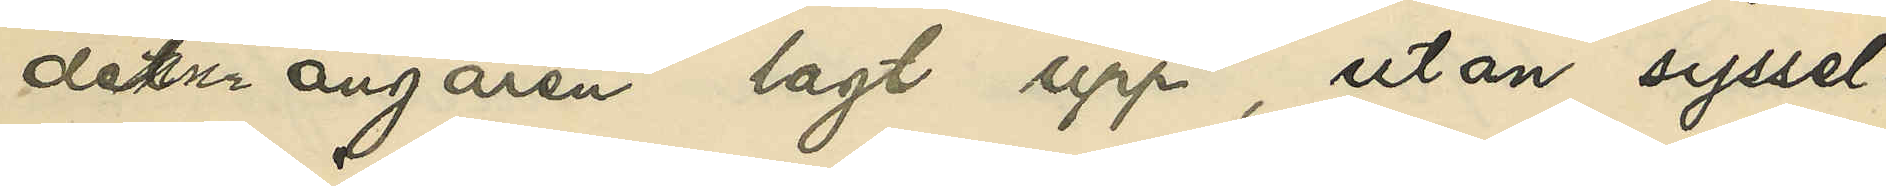denna ångaren lagt upp, utan syssel¬
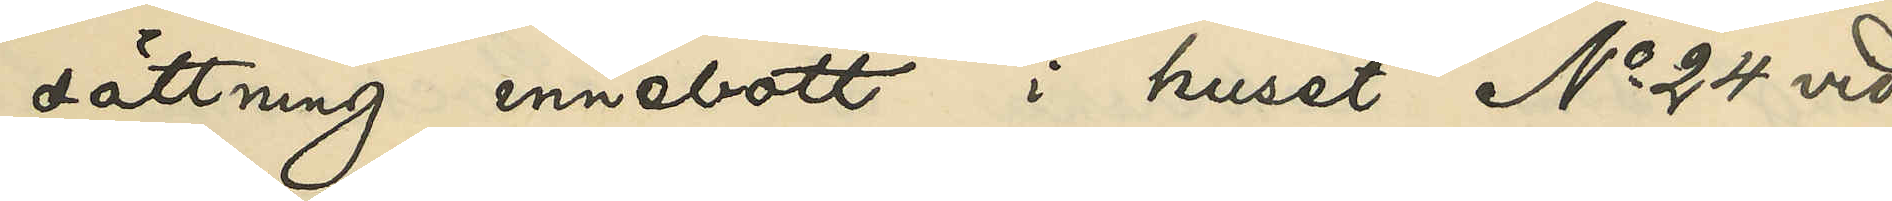sättning innebott i huset No 24 vid
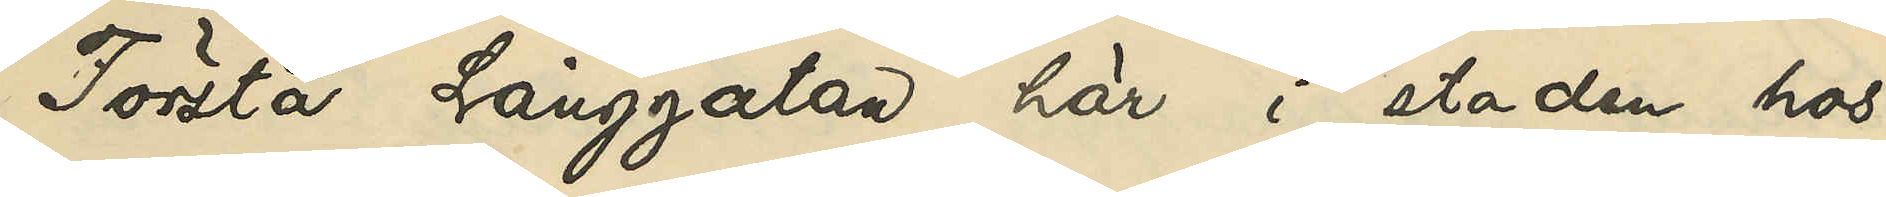Första Långgatan här i staden hos
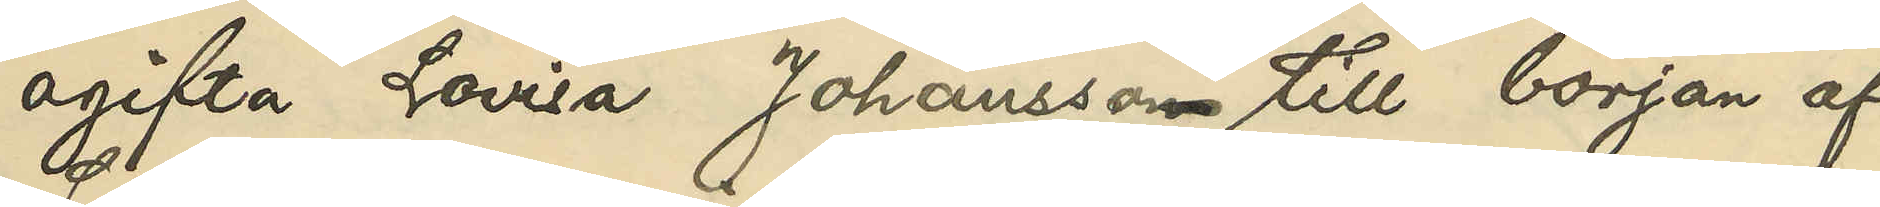ogifta Lovisa Johansson till början af
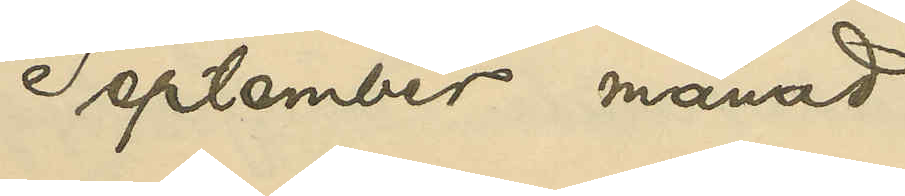September månad
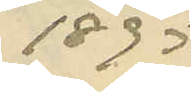1895
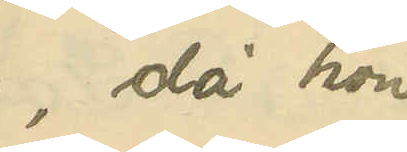då hon
